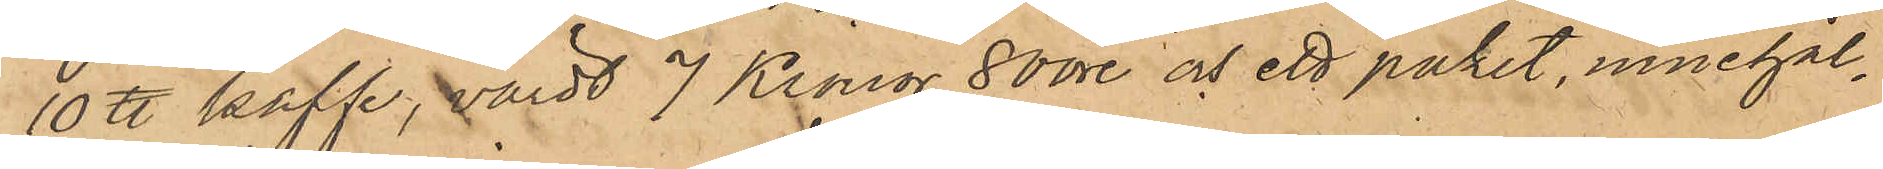10 ℔ kaffe, värdt 7 Kronor 80 öre och ett paket, innehål¬
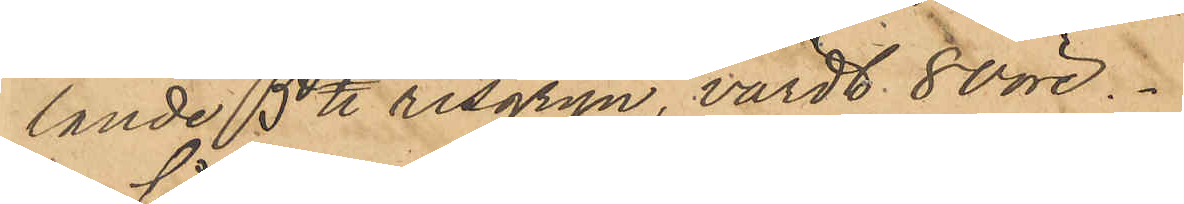lande 5 ℔ risgryn, värdt 80 öre.
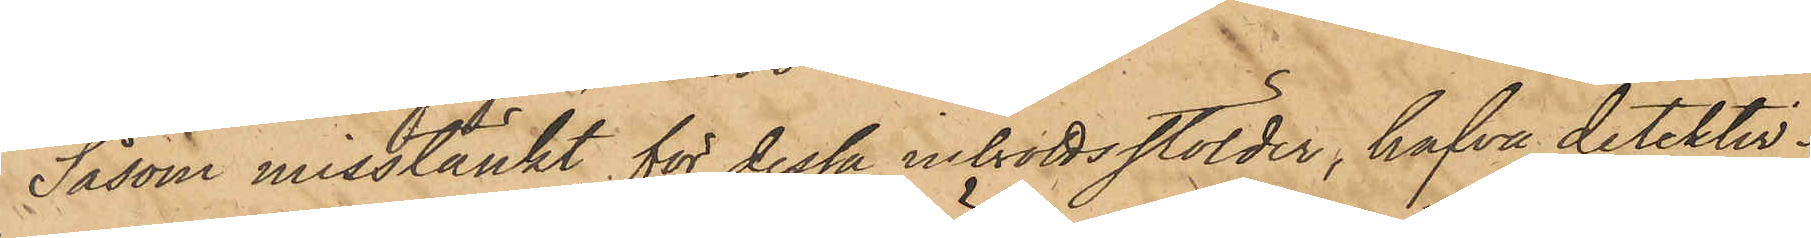Såsom misstänkt för dessa inbrottsstölder, hafva detektiv¬
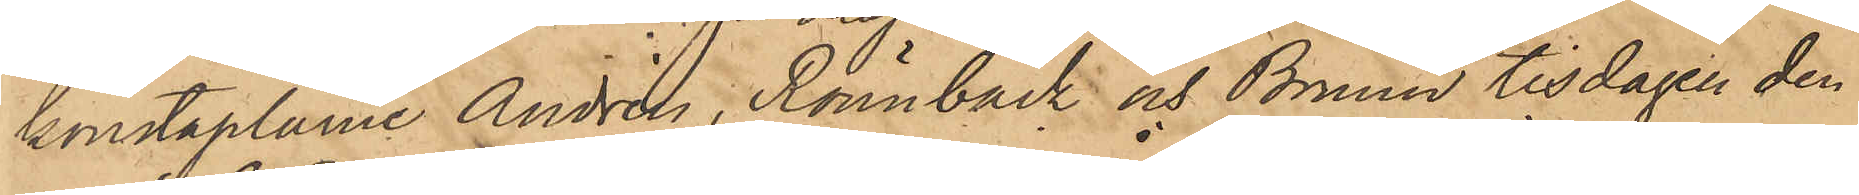konstaplarne Andrén, Rönnbäck och Bruun tisdagen den
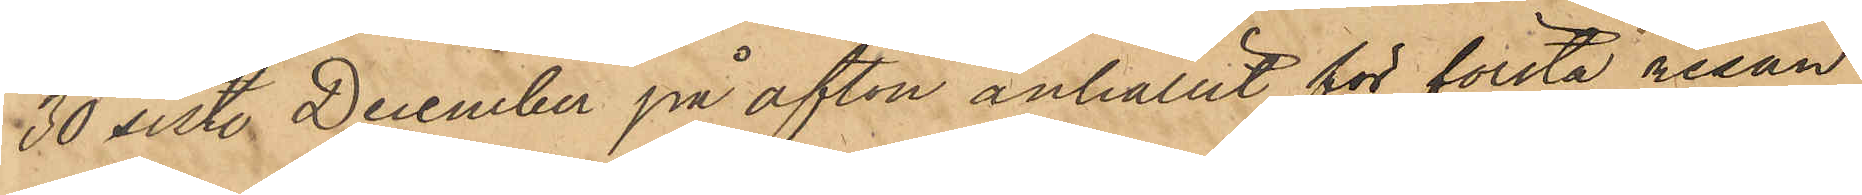30 sist. December på afton anhållit för första resan
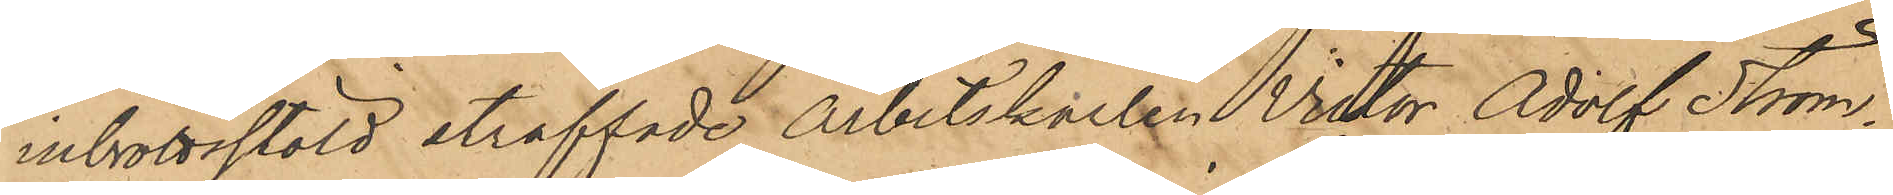inbrottsstöld straffade Arbetskarlen Victor Adolf Ström¬
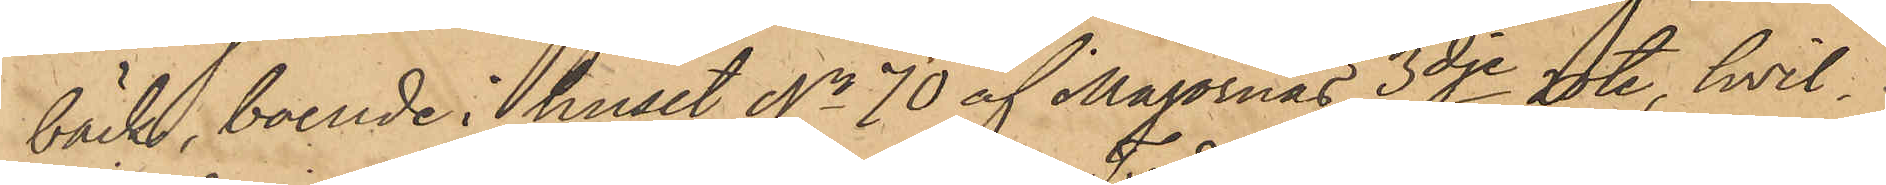bäck, boende i huset No 70 af Majornas 3dje rote, hvil¬
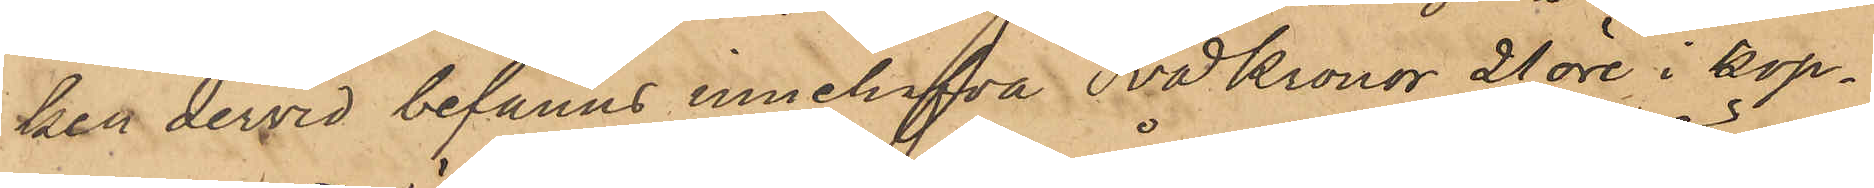ken dervid befanns innehafva Två Kronor 21 öre i kop¬
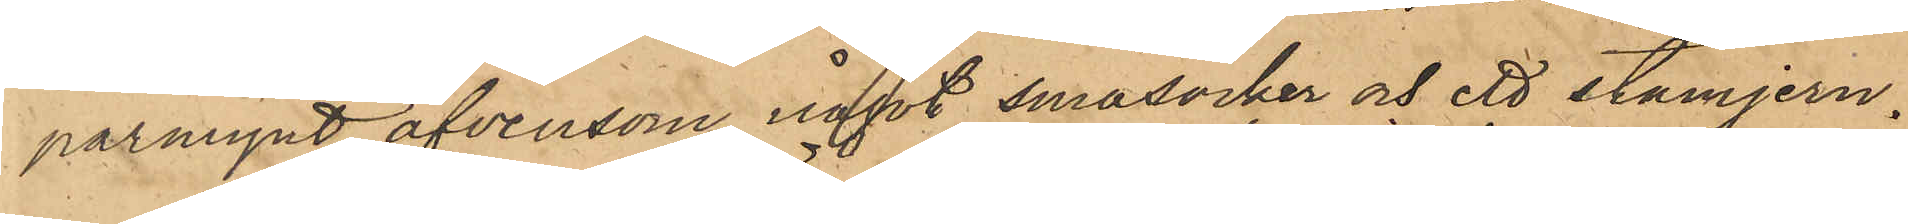parmynt äfvensom något småsocker och ett stämjern.
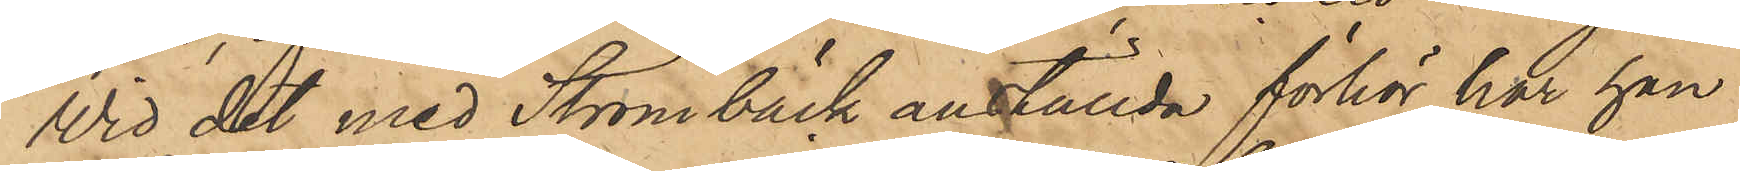Wid det med Strömbäck anställda förhör har han
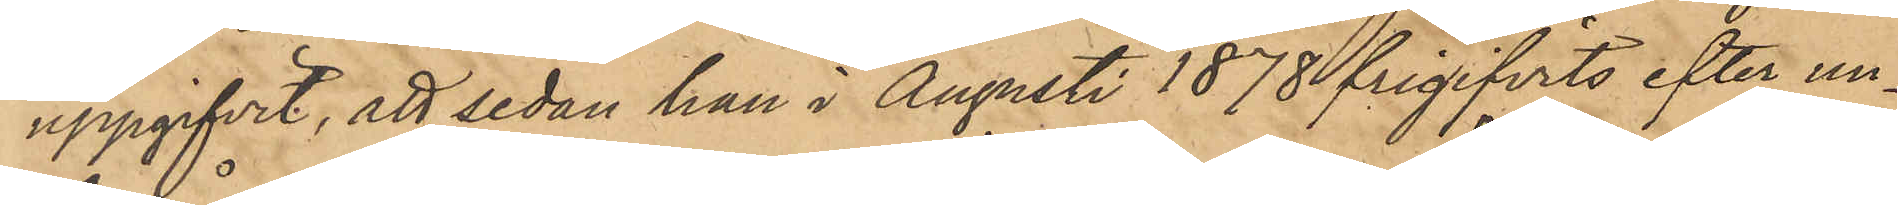uppgifvit, att sedan han i Augusti 1878 frigifvits efter un¬
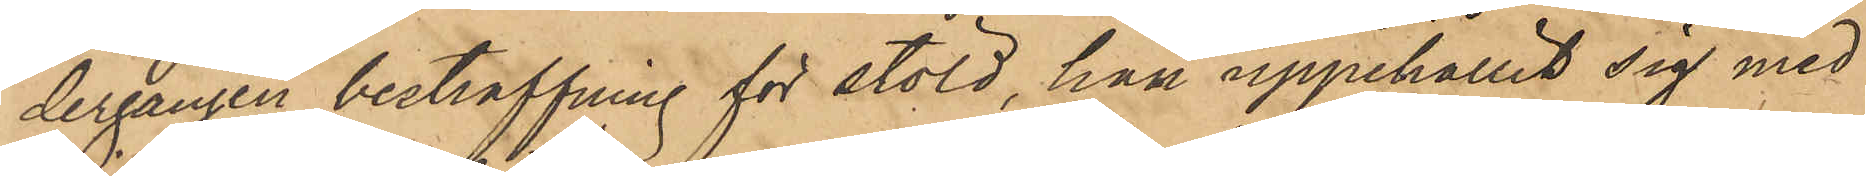dergången bestraffning för stöld, han uppehållit sig med
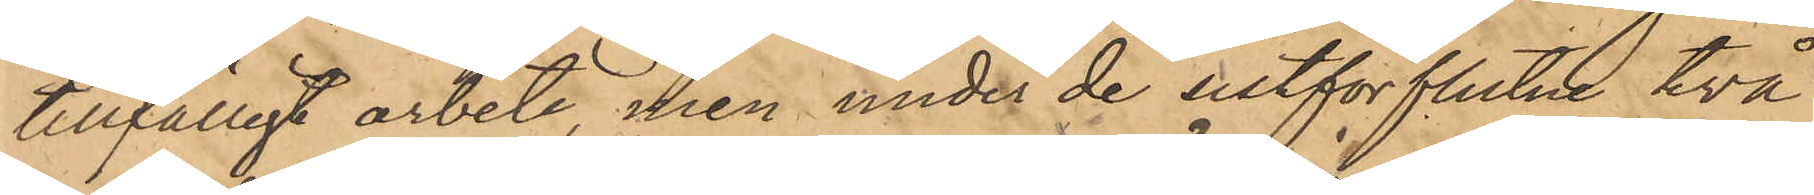tillfälligt arbete, men under de sistförflutne två
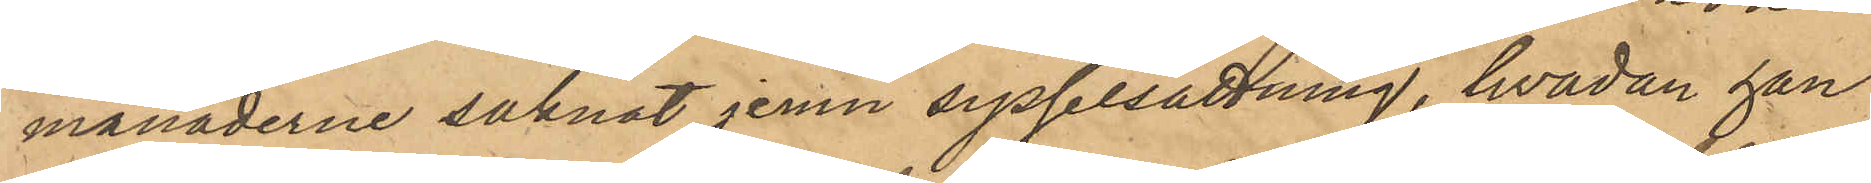månaderne saknat jemn sysselsättning, hvadan han
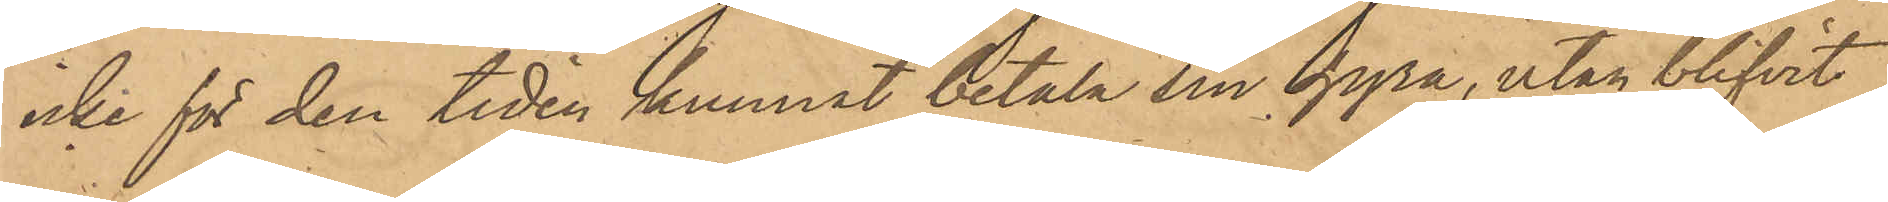icke för den tiden kunnat betala sin hyra, utan blifvit
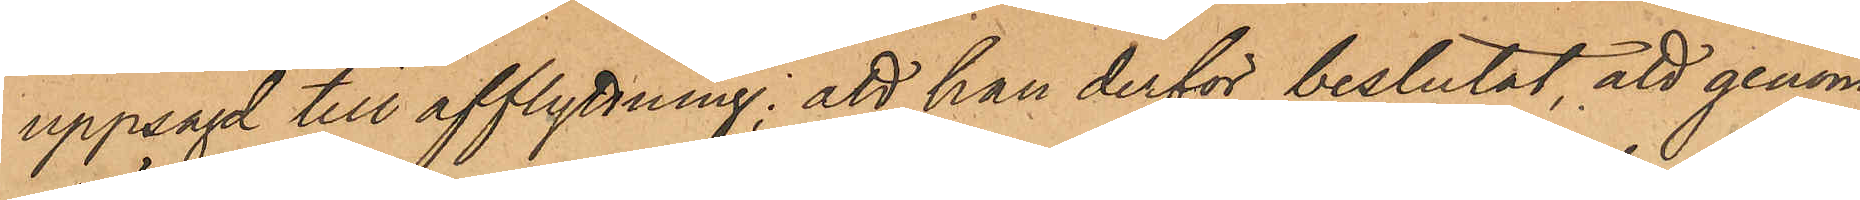uppsagd till afflytning: att han derför beslutat, att genom
